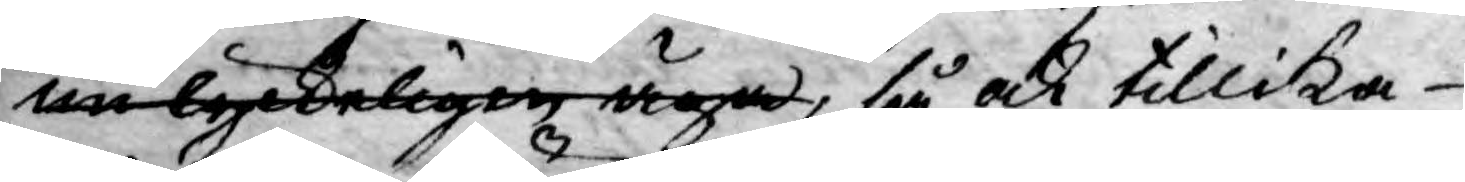nu lyckeligen äga, så ock tillika
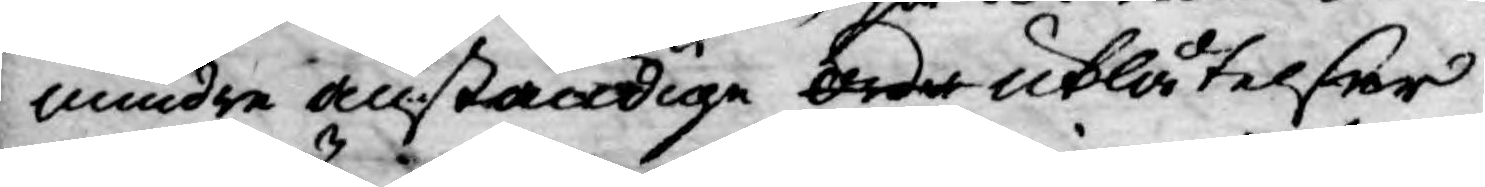mindre anständige Orde utlåtelser
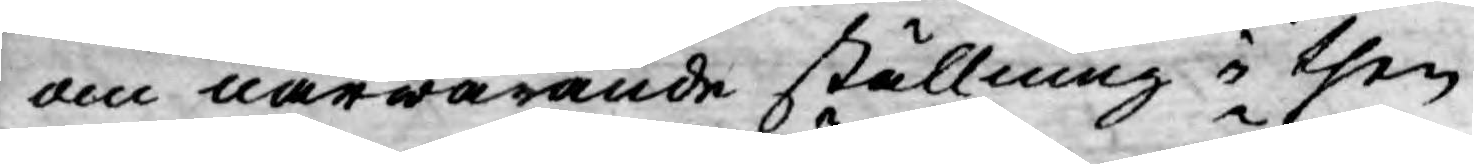om närwarande ställning i then
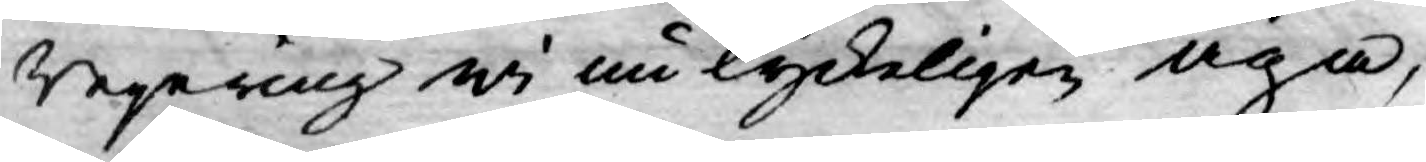Regering wi nu lyckeligen äga,
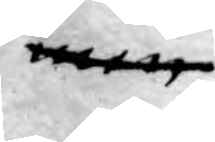men
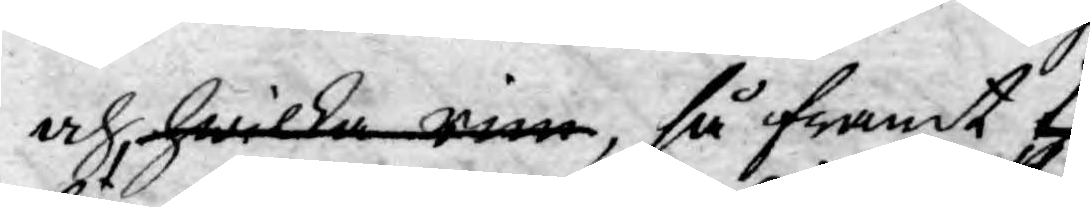och, hwilka rim, så framt the
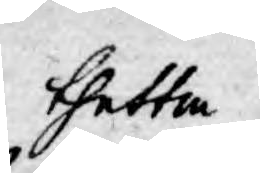thetta
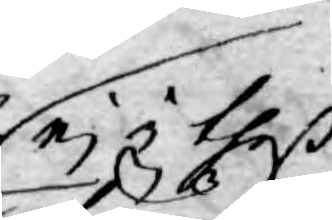ej i theß
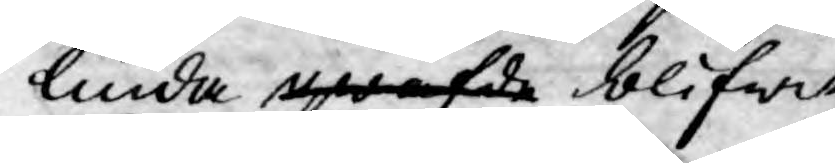linda gwafde blifwit
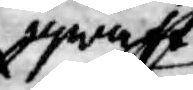gwaft
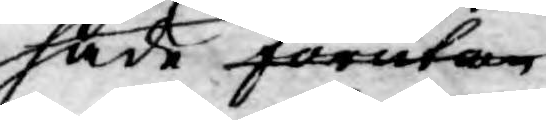hade förutan
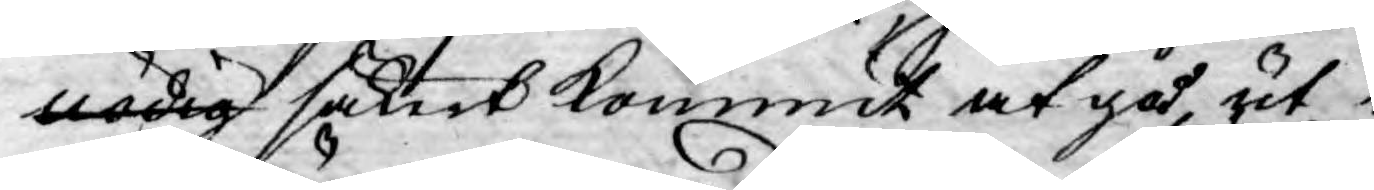nödig säkert kommit at gå ut i
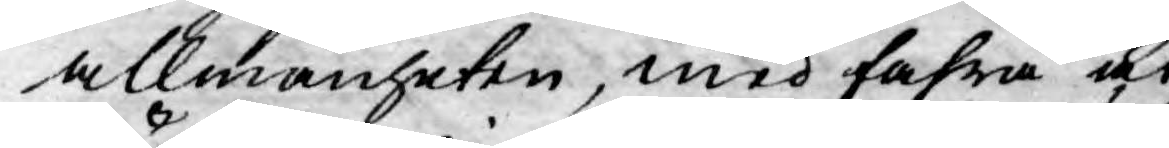allmänheten, med fahra at
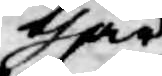thär
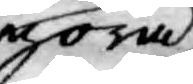göra
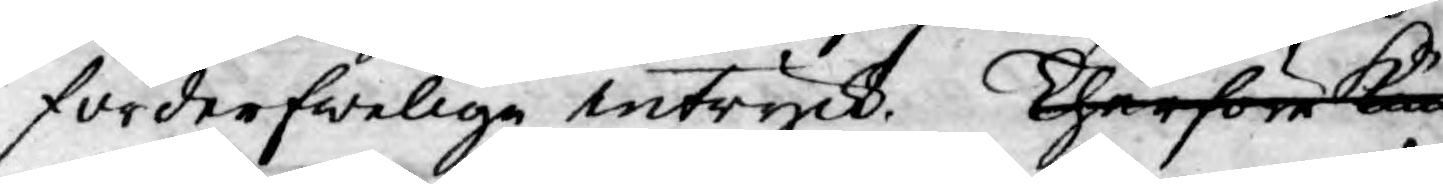förderfweliga intryck. Therföre kun¬
